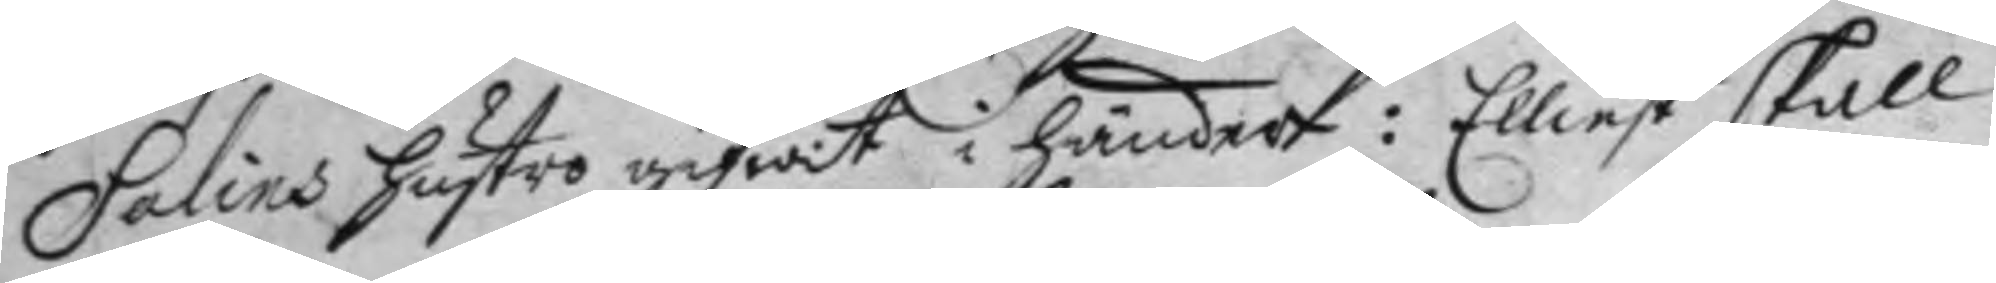Salins hustro gifwit i händer: Elliest skall
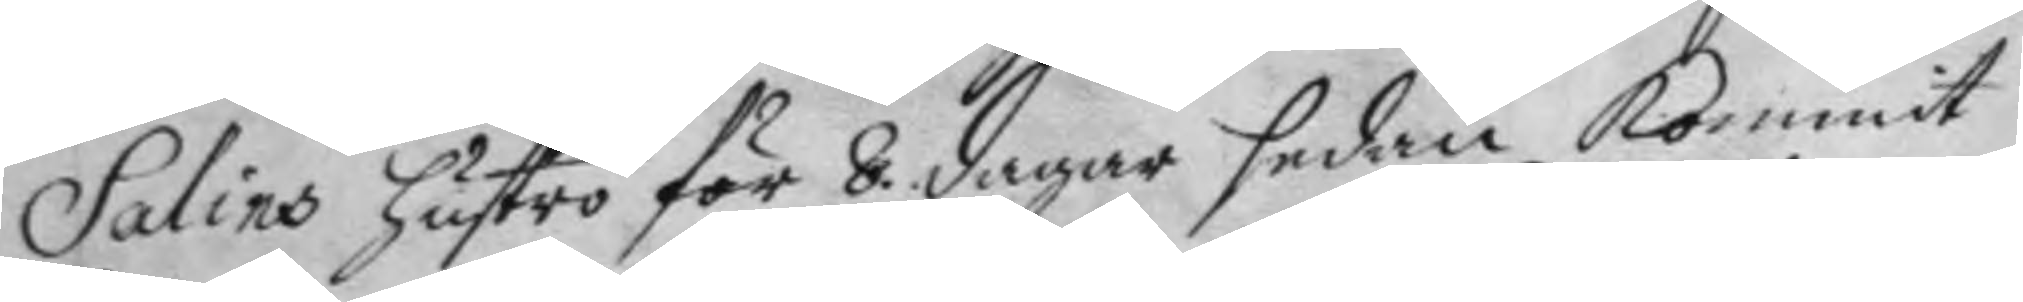Salins hustro för 8 dagar sedan kommit
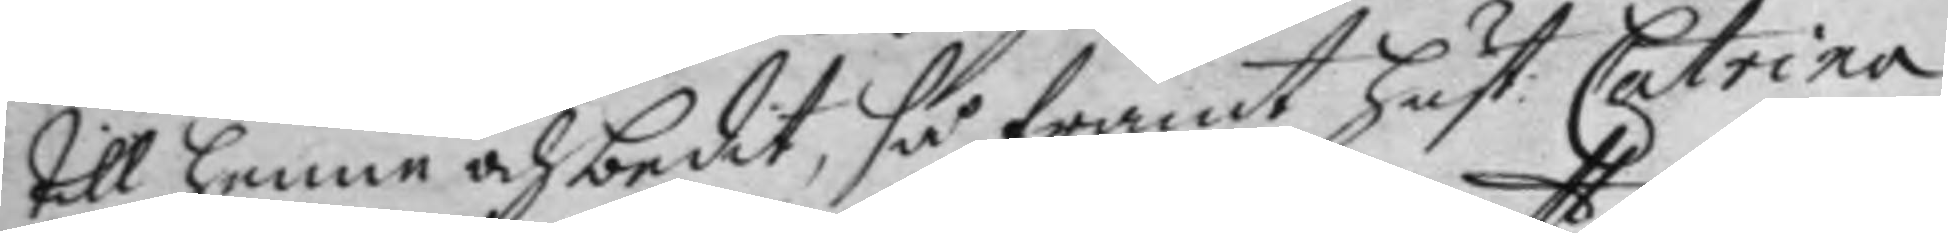till henne och bedit, så framt hust: Catrina 
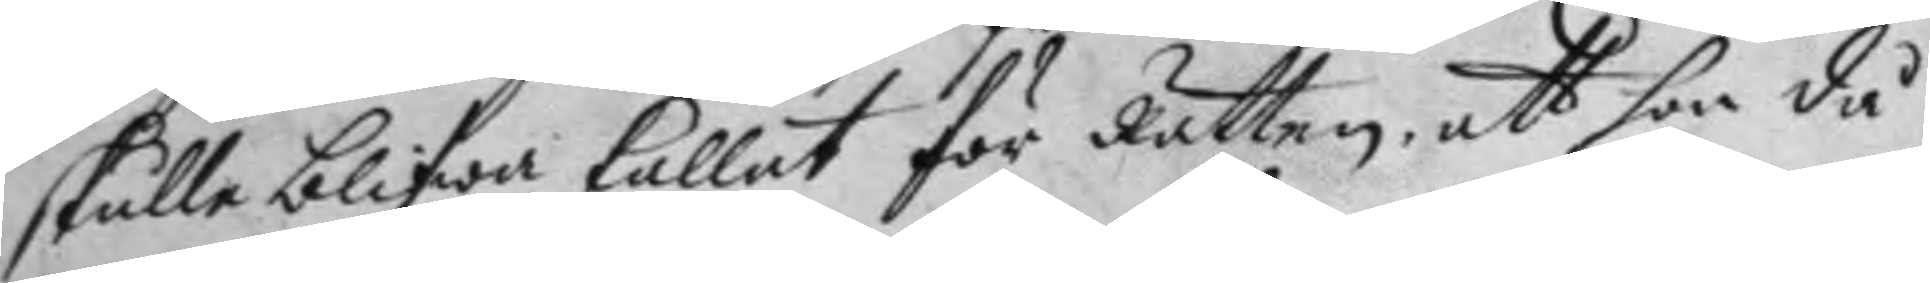skulle blifwa kallat för Rätten, att hon då
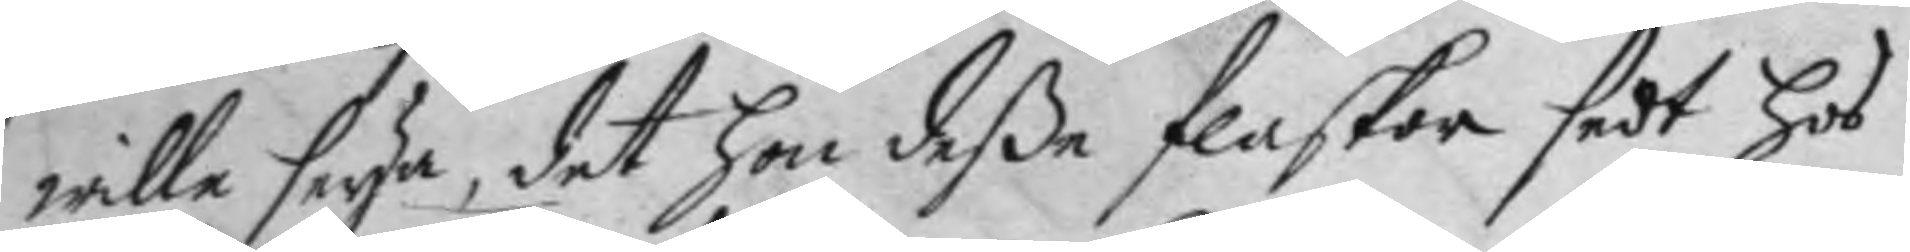wille seya, det hon deße flaskor sedt hos
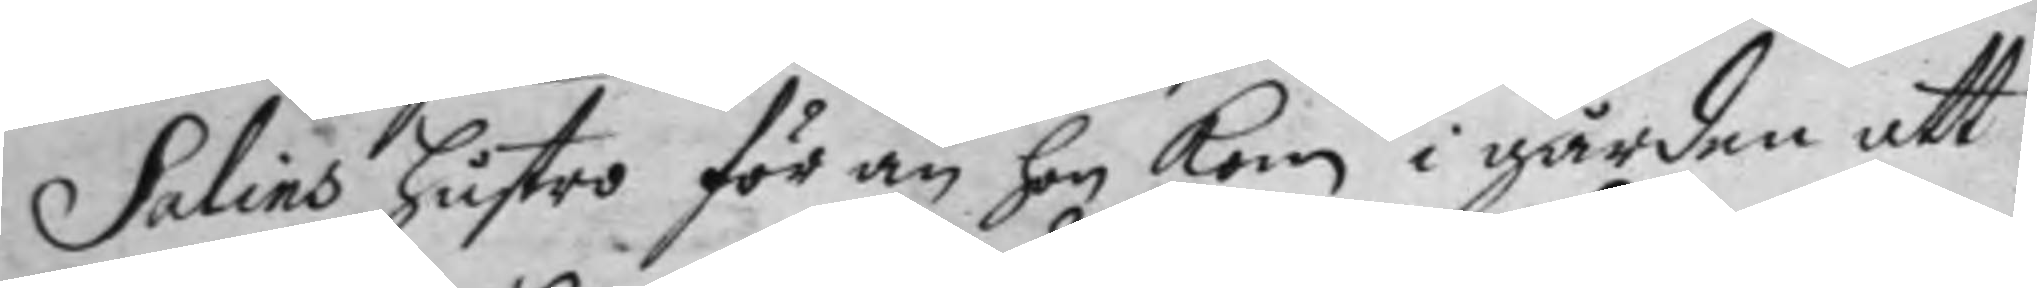Salins hustro för än hon kom i gården att
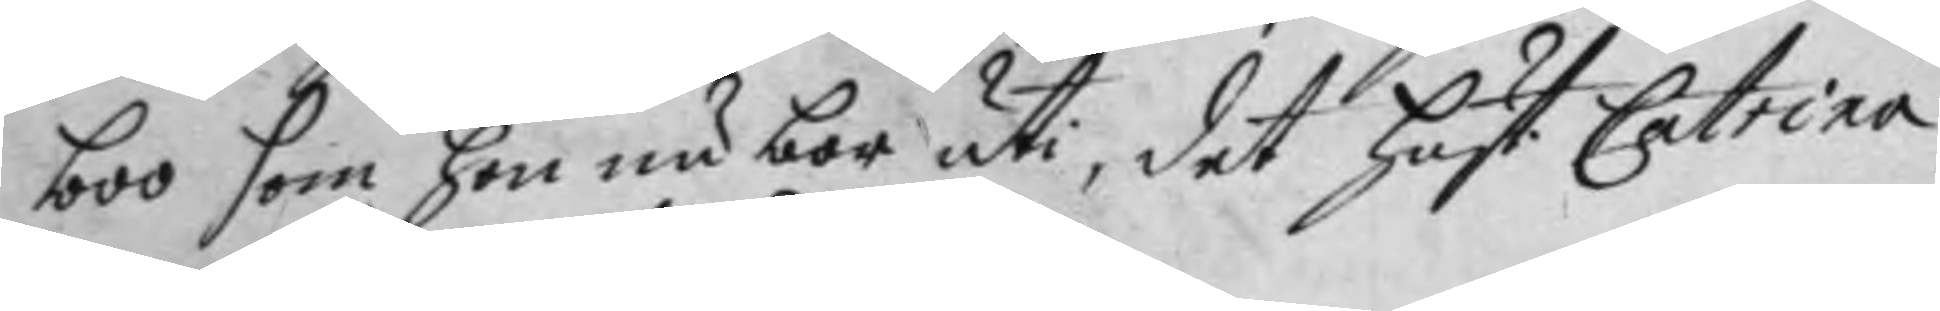boo som hon nu bor uti, det hust. Catrina
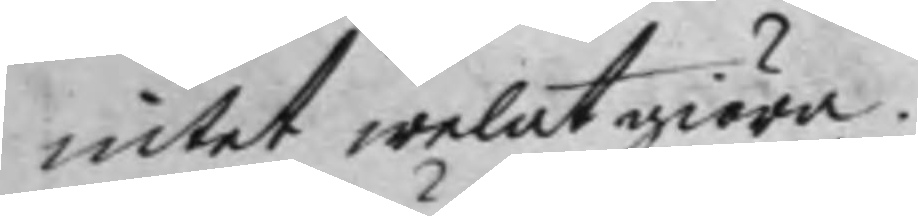intet welat giöra.
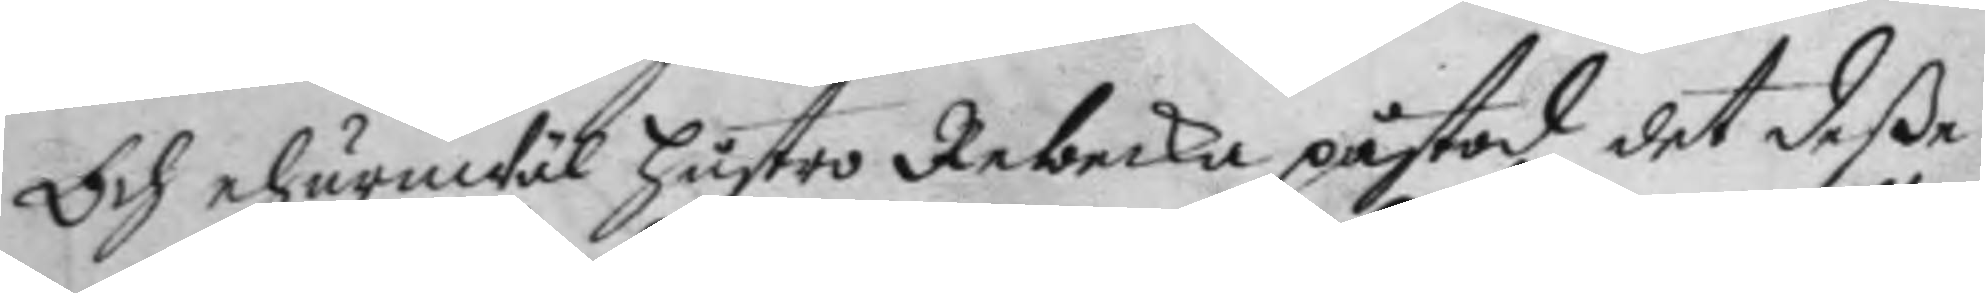Och ehuruwäl hustro Rebecka påstod det deße
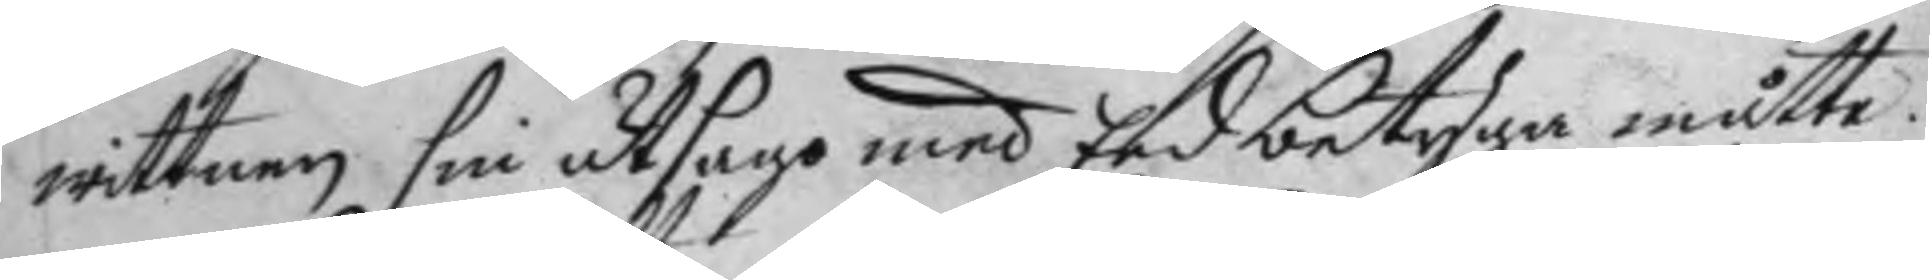wittnen sin utsago med Eed betyga måtte.
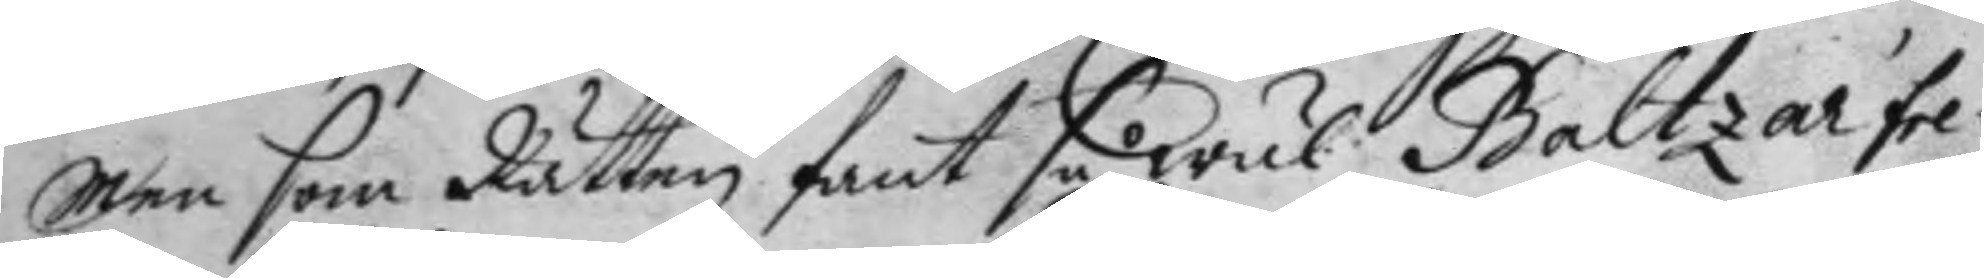Men som Rätten fant så wäl Baltzar fre¬
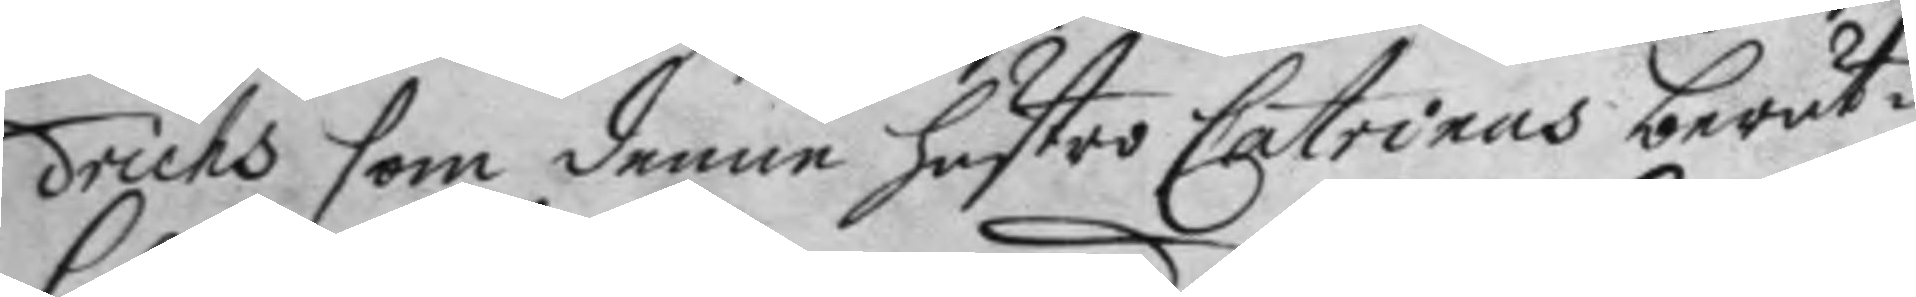drichs som denne hustro Catrinas berät¬
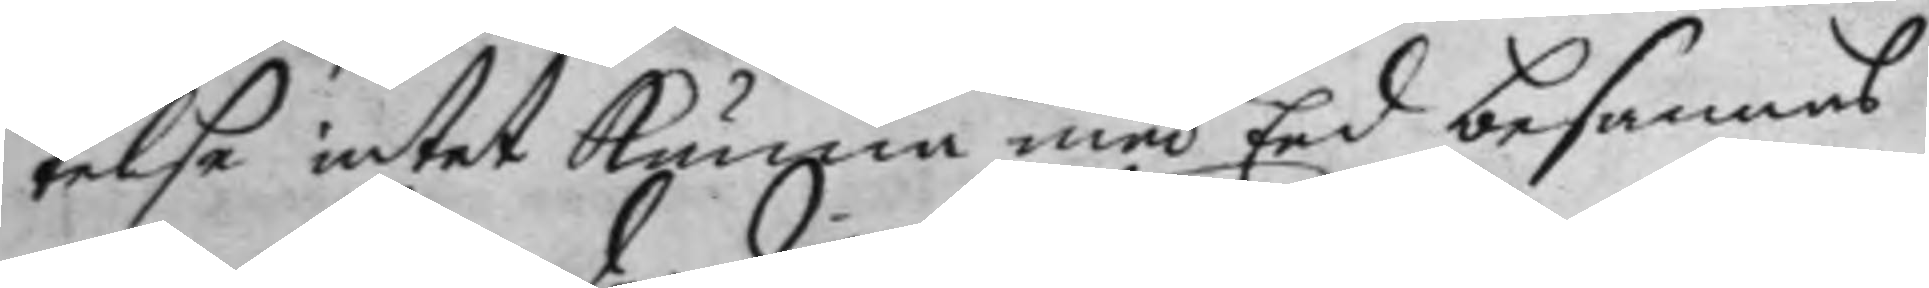telse intet kunna med Eed besannas
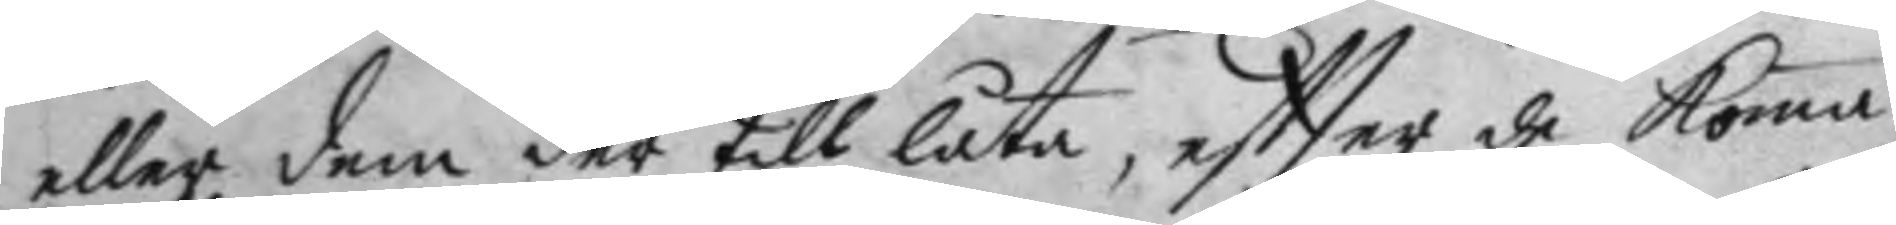eller dem der till låta, eftter de Koma
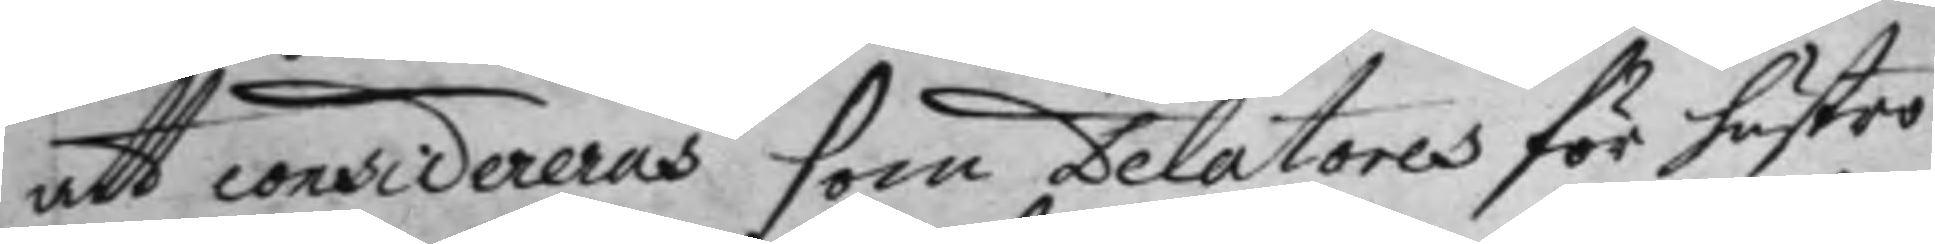att considereras som Delatores för hustru
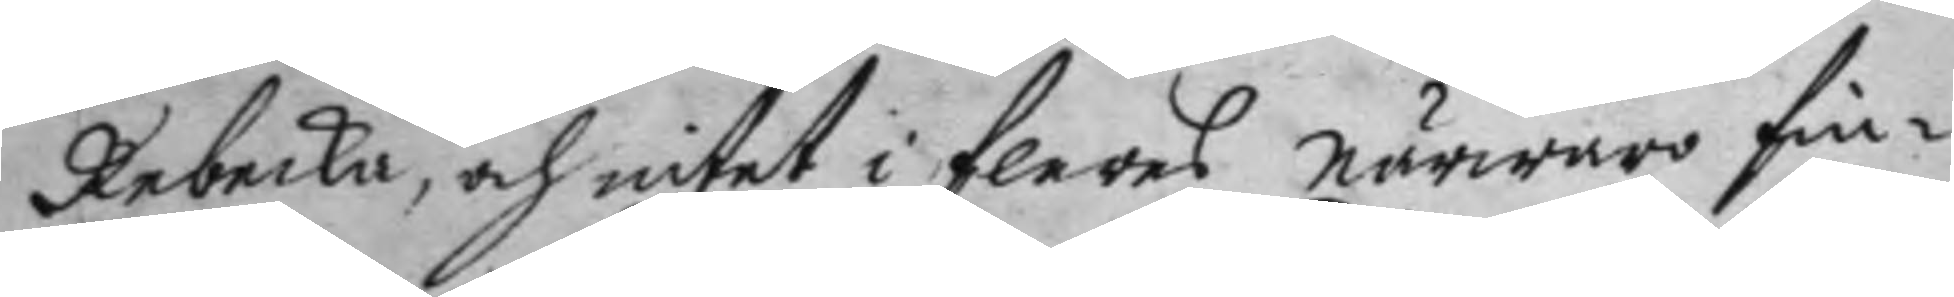Rebecka, och intet i fleres närwaro fin¬
